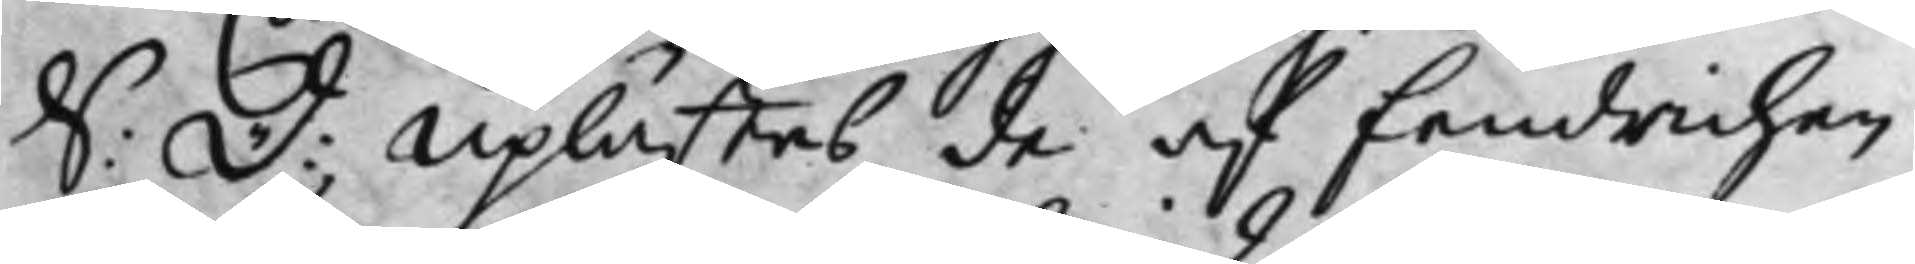S: D: Uplästes de af Fendrichen
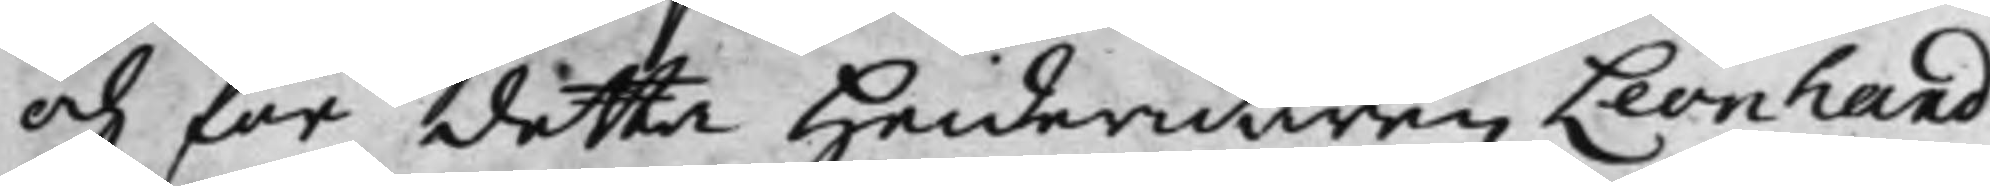och för detta Heideridaren Leonhard
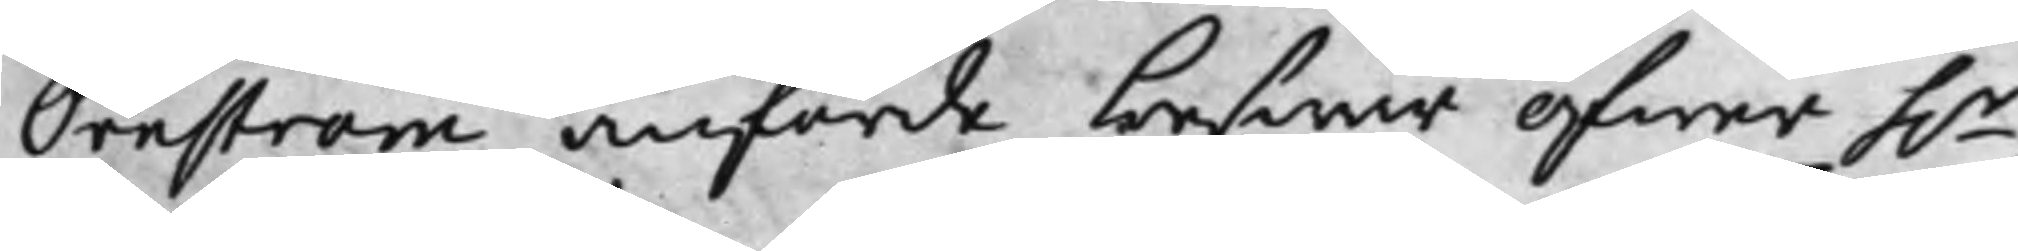Örnström anförde beswär öfwer h.r
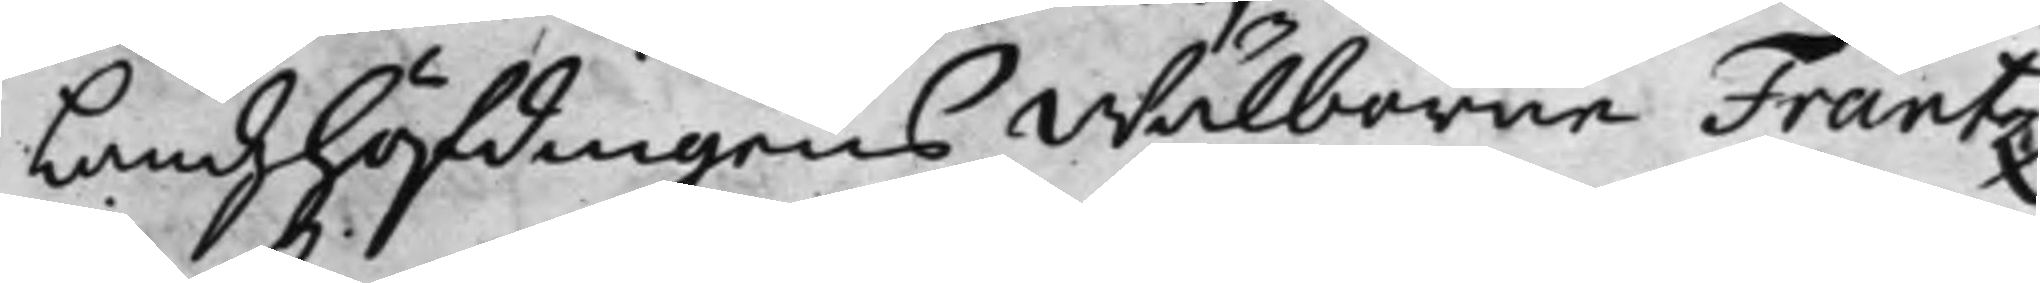Landzhöfdingens Wälborne Frantz
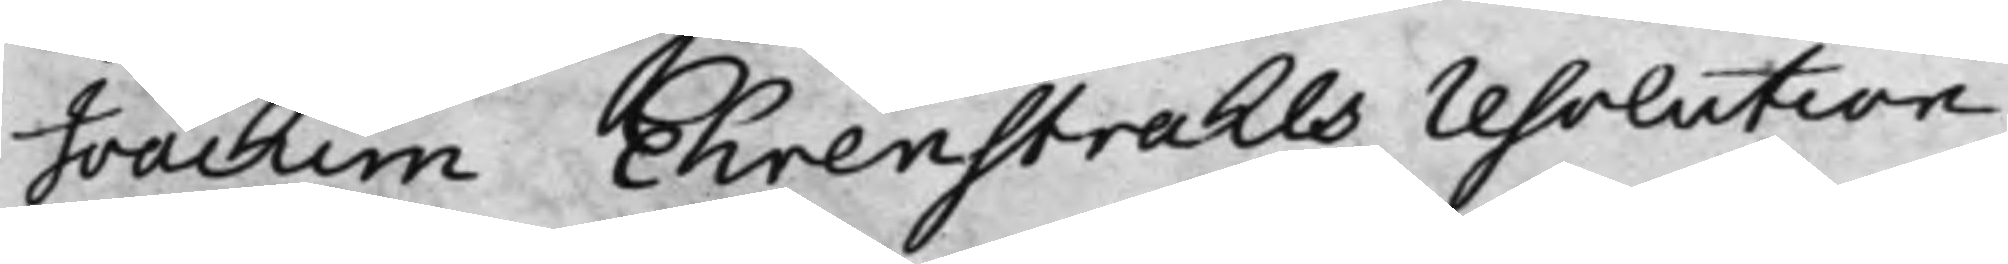Joachim Ehrenstrahls resolution
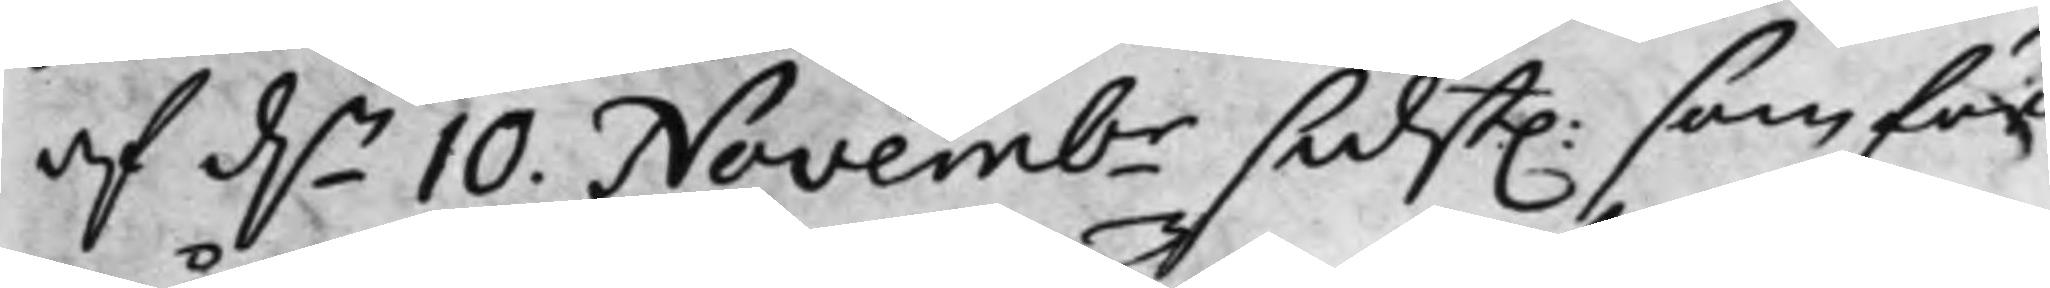af d.n 10. Novembr sidst. som för
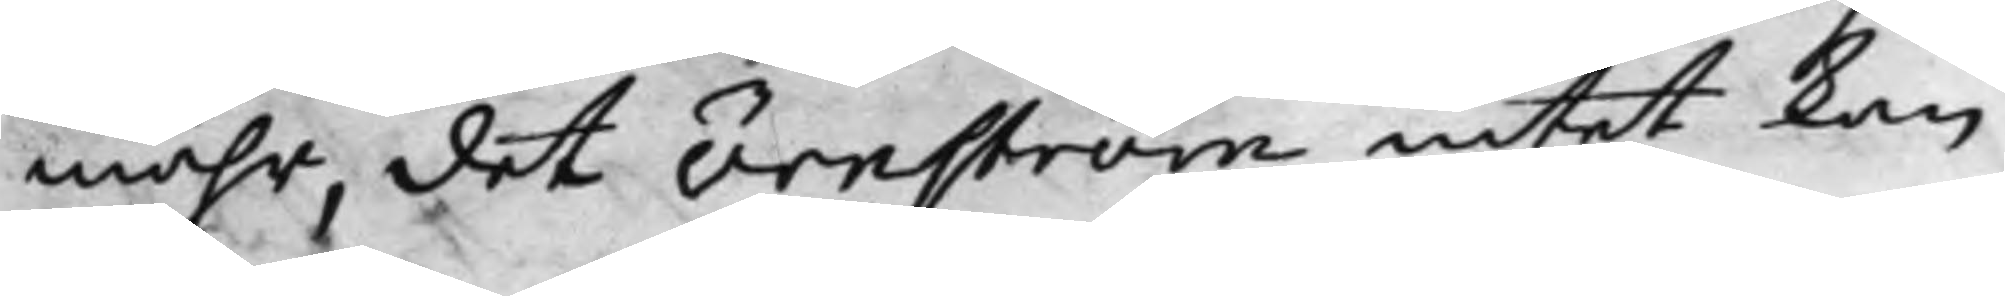måhr, det Örnström intet kan
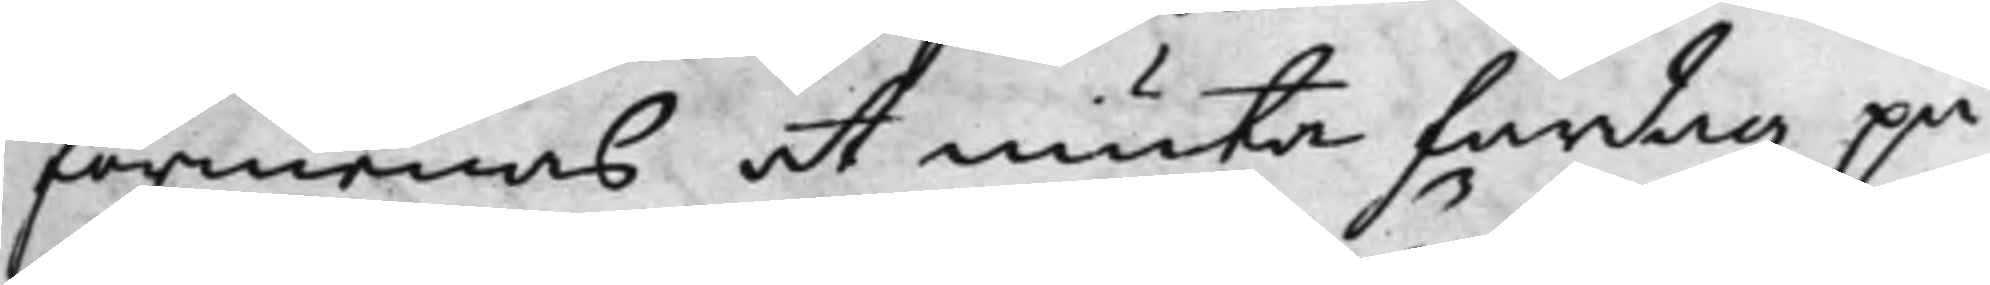förmenas at niuta fardag på
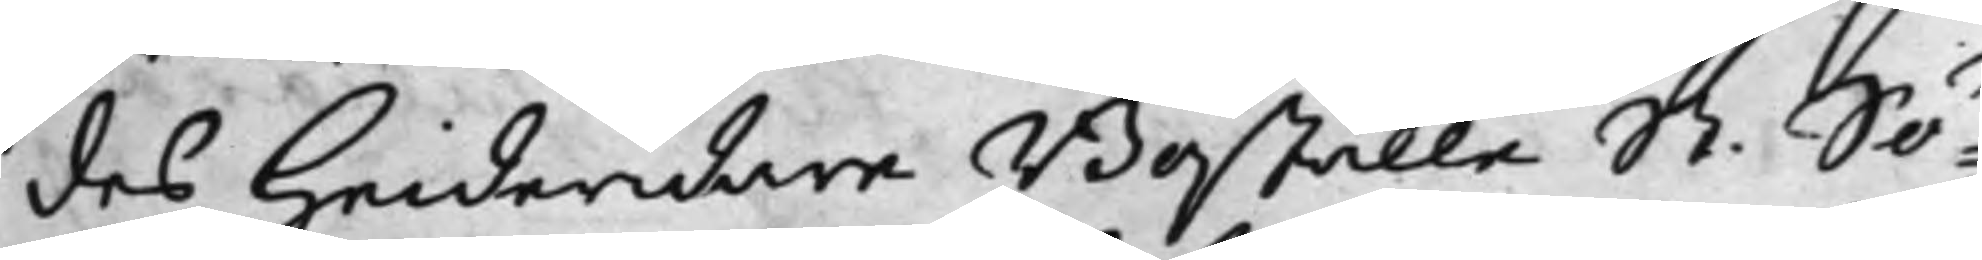des Heideridare Boställe St. Sö¬
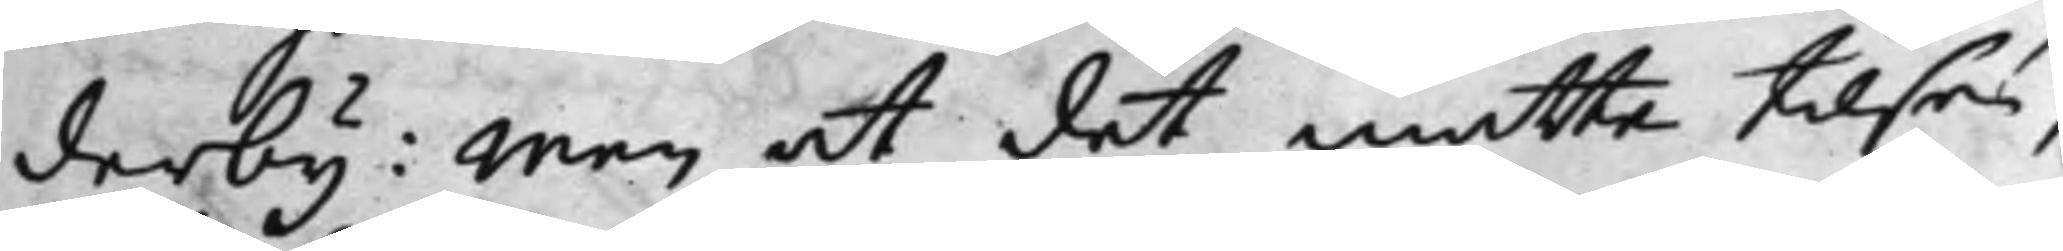derby: Men at det måtte tilsses,
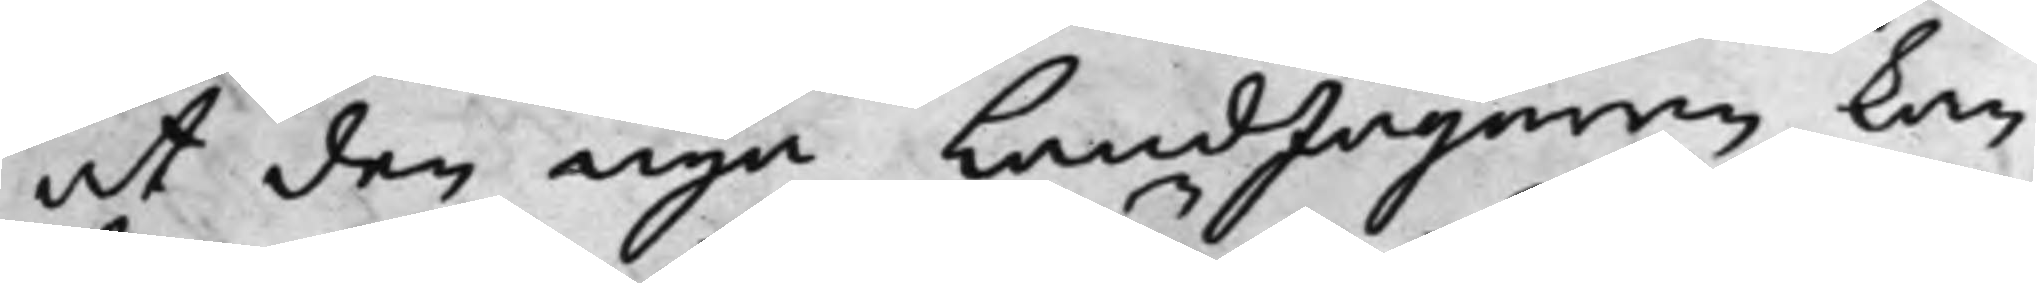at den nya LandJägaren kan
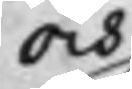och
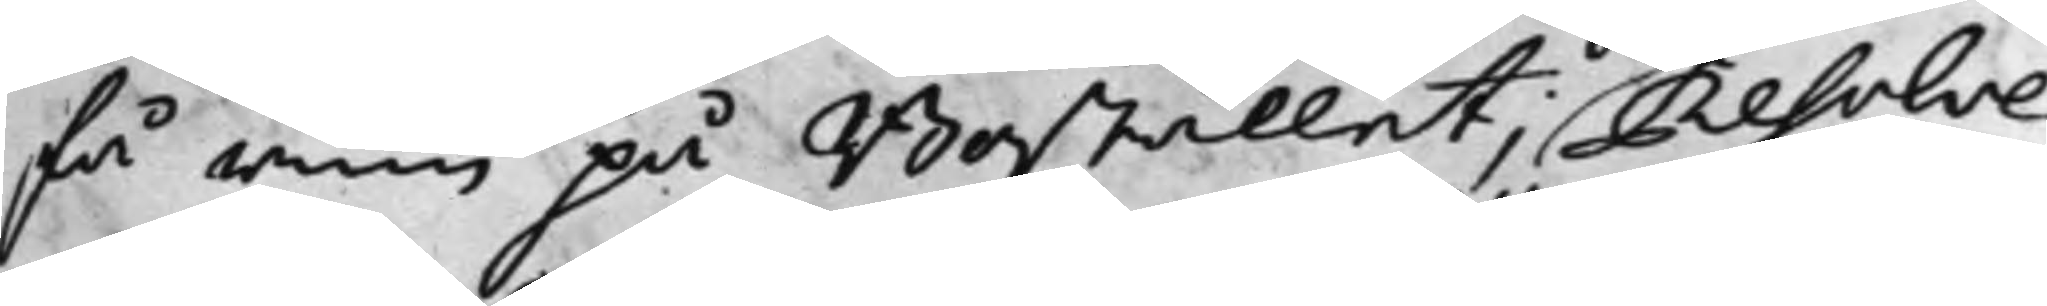få rum på Bostället; Resolve¬
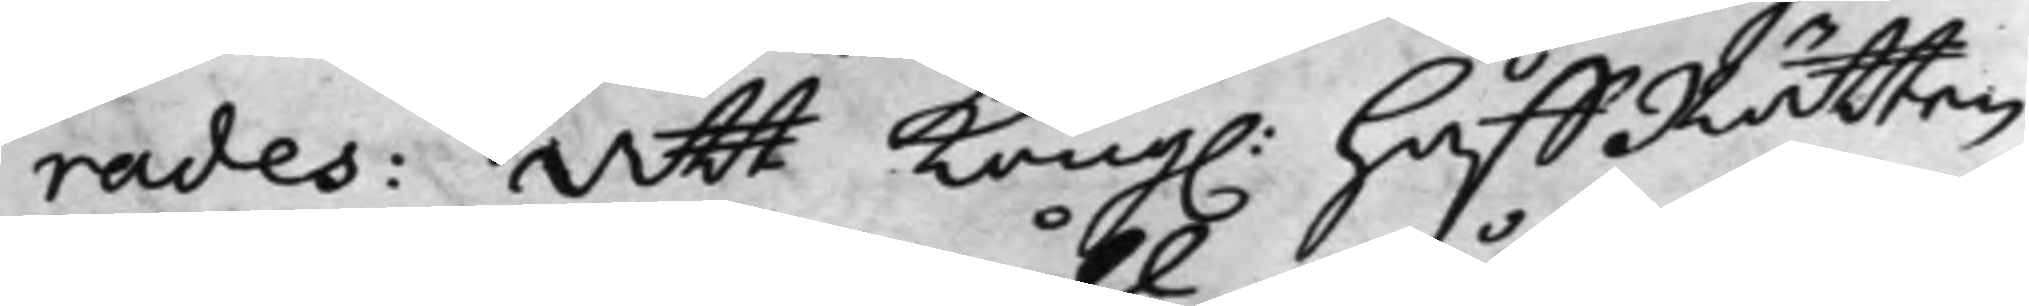rades att Kong. HoffRätten
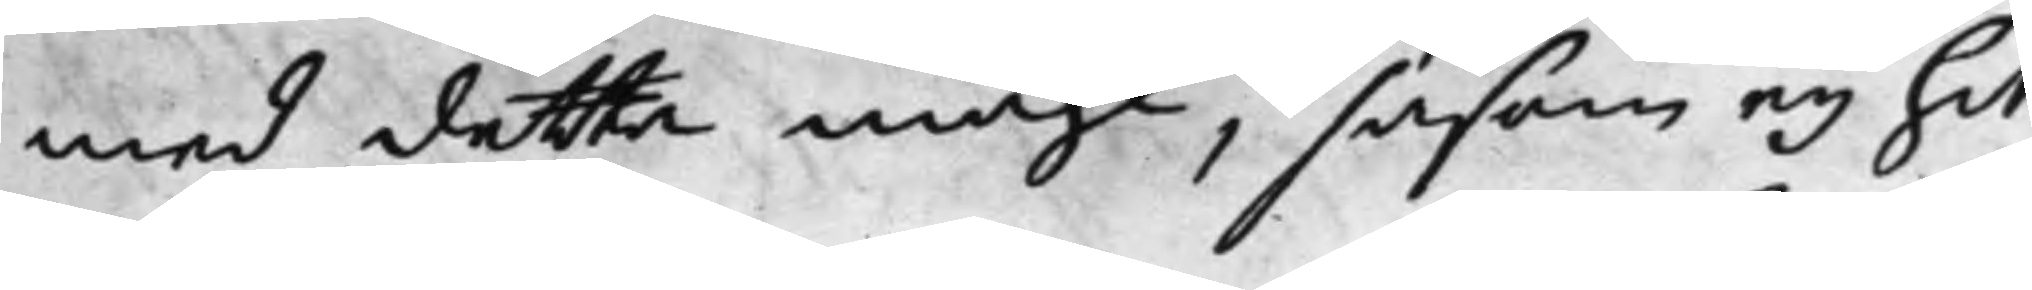med detta måhl, såsom eij hit
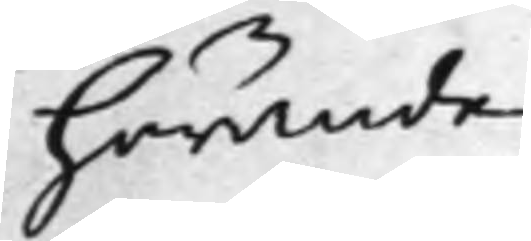hörande
